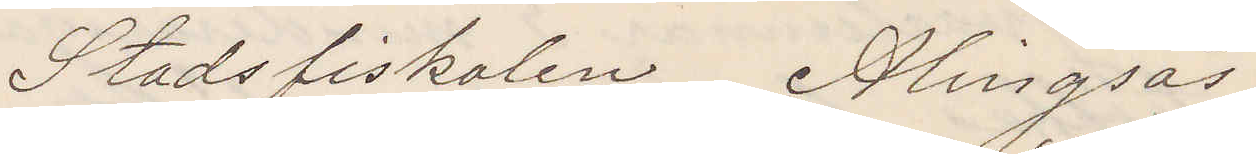Stadsfiskalen Alingsås.
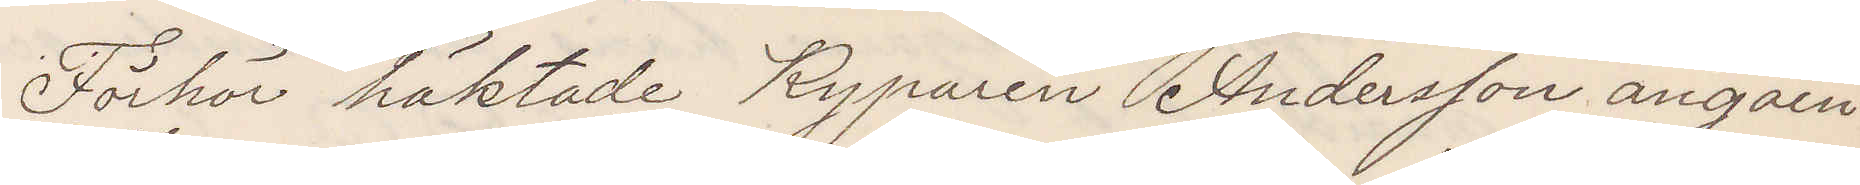Förhör häktade Kyparen Andersson angåen¬
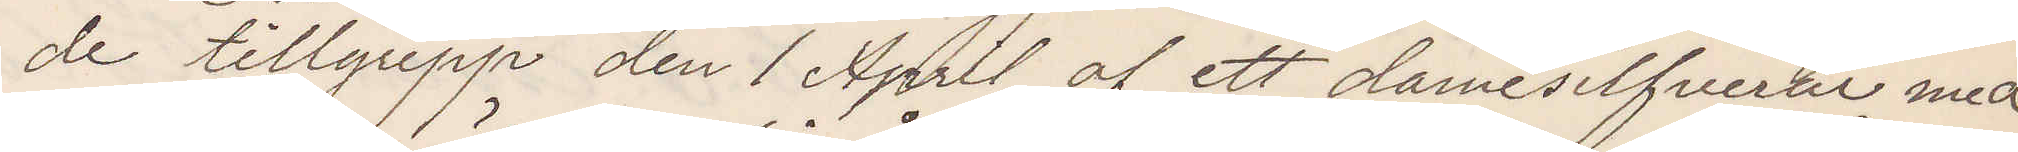de tillgrepp den 1 April af ett damesilfverur med
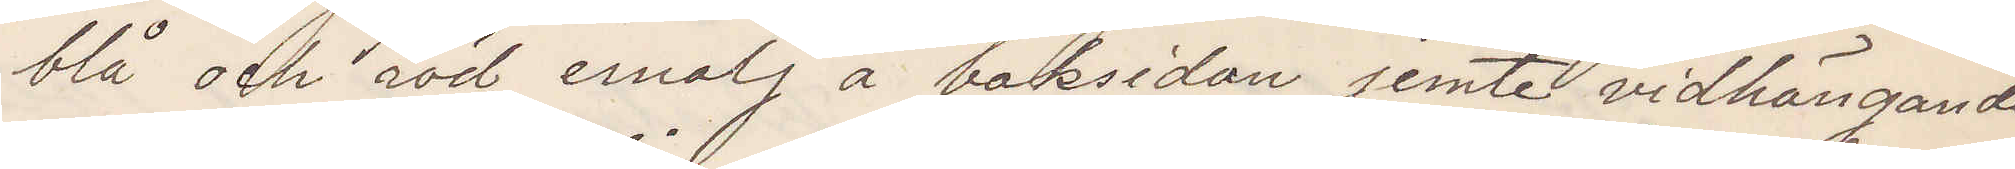blå och röd emalj å baksidan jemte vidhängande
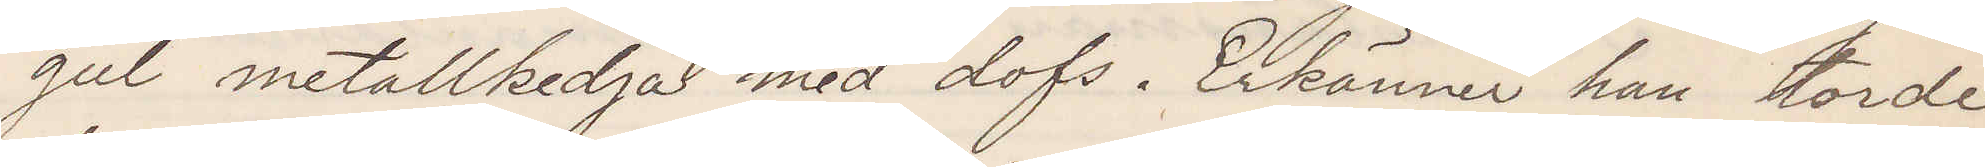gul metallkedja med dofs. Erkänner han torde
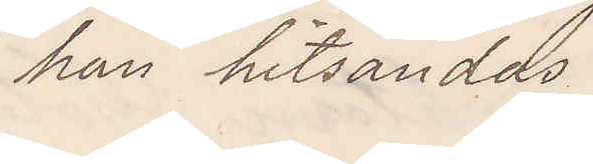han hitsändas.
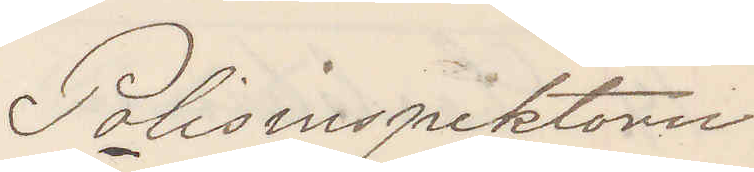Polisinspektorn
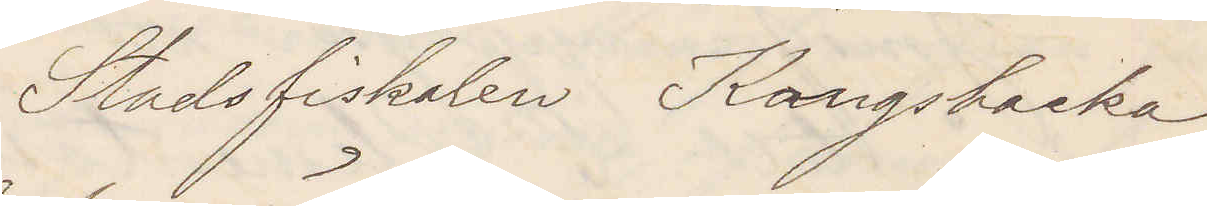Stadsfiskalen Kongsbacka
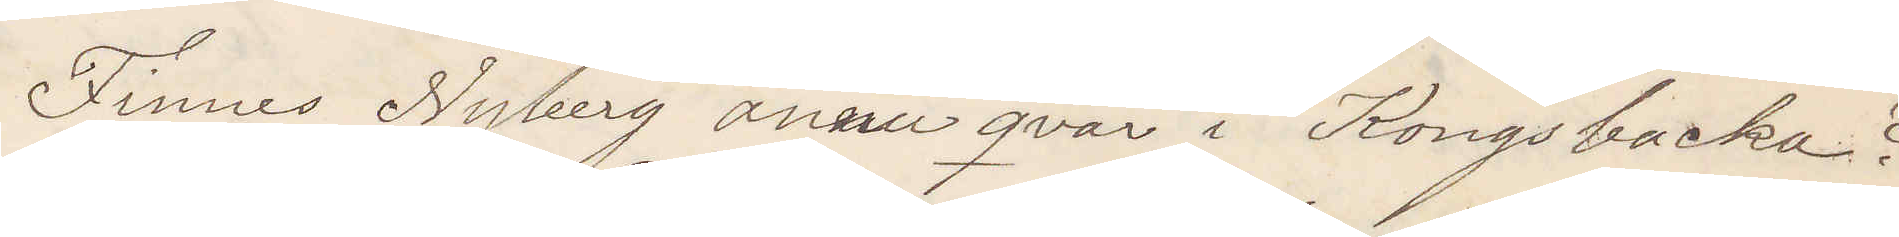Finnes Nyberg ännu qvar i Kongsbacka?
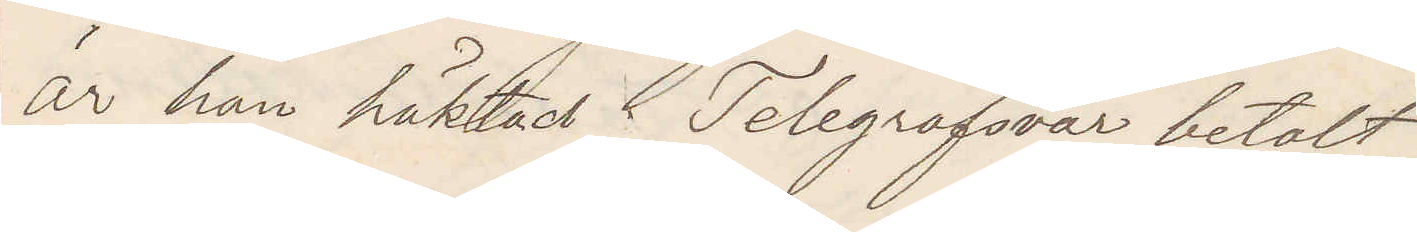är han häktad Telegrafsvar betalt
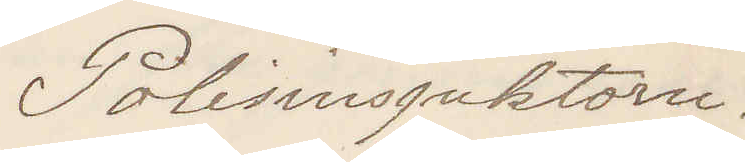Polisinspektorn.
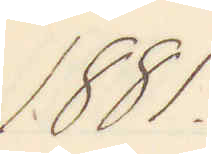1881.
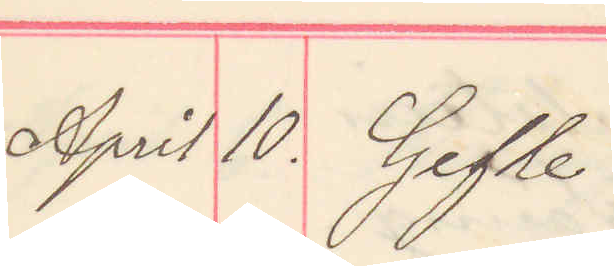April 10. Gefle
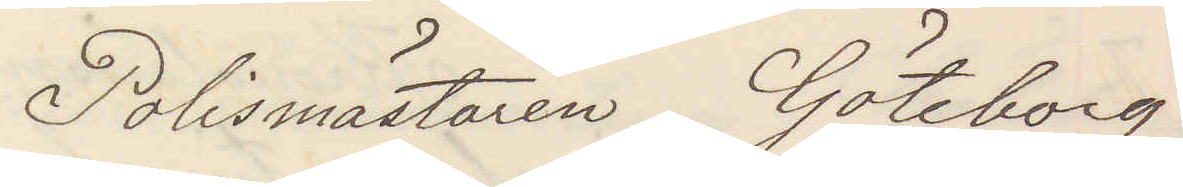Polismästaren Göteborg
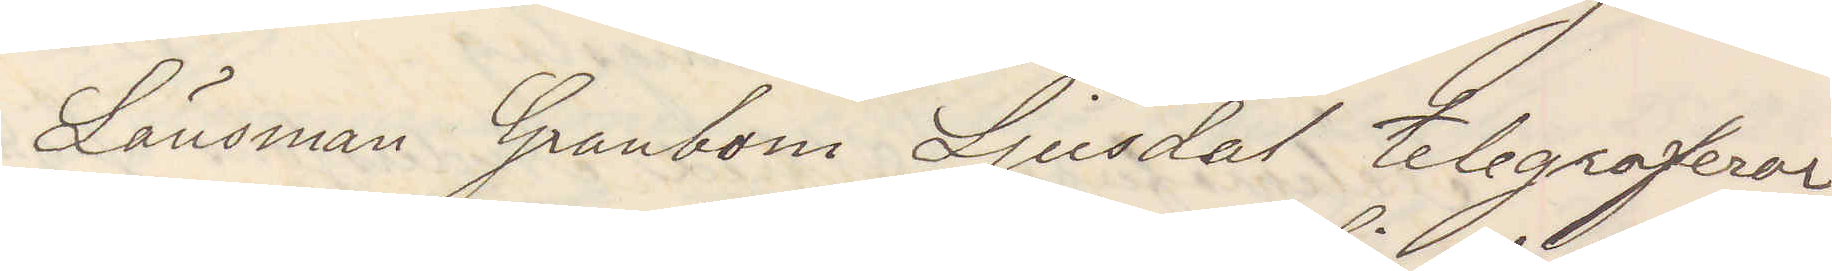Länsman Granbom Ljusdal telegraferar
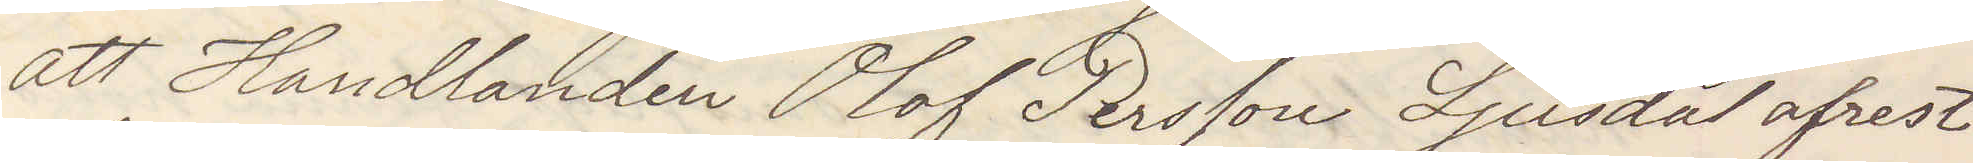att Handlanden Olof Persson Ljusdal afrest
